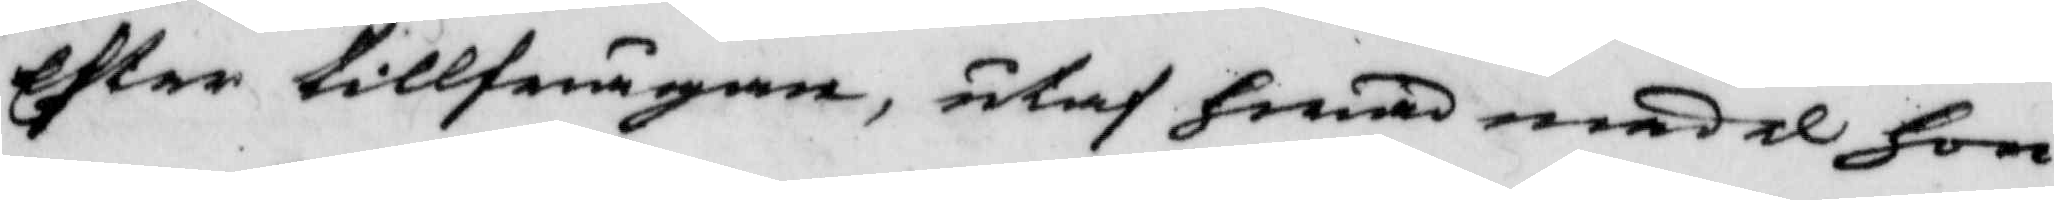Efter tillfrågan, utaf hwad medel hon
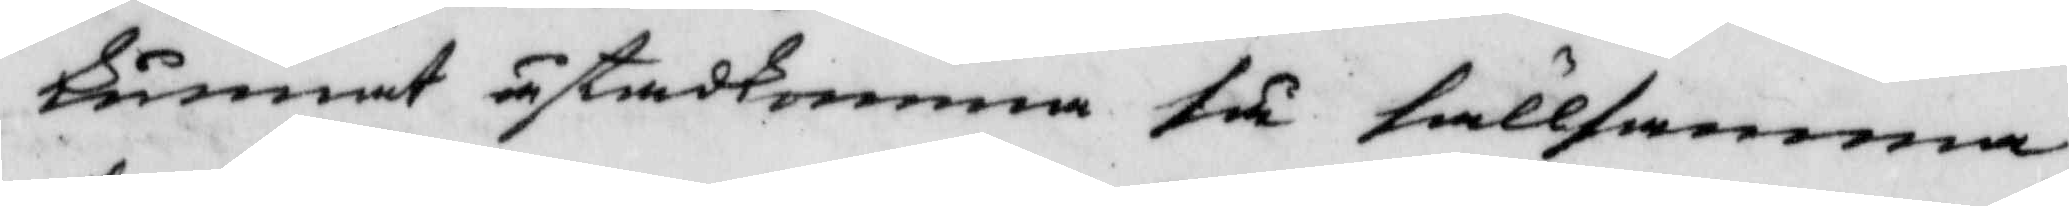kunnat åstadkomma för sällsamma
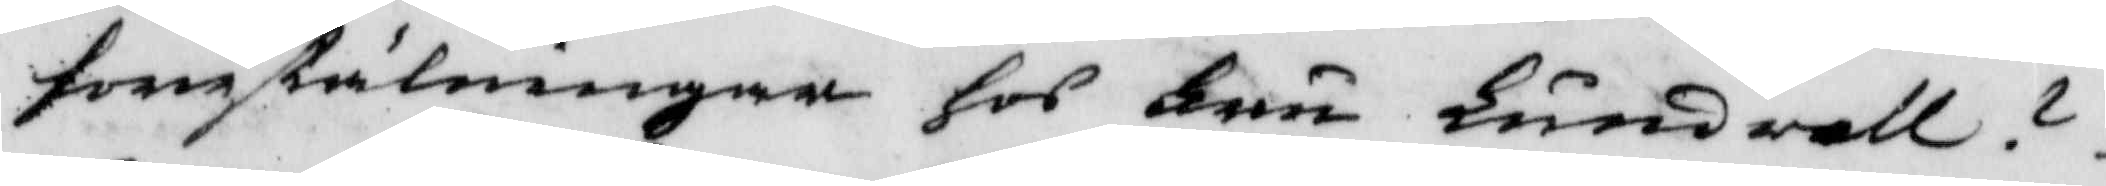förestälningar hos Fru Lundvall?
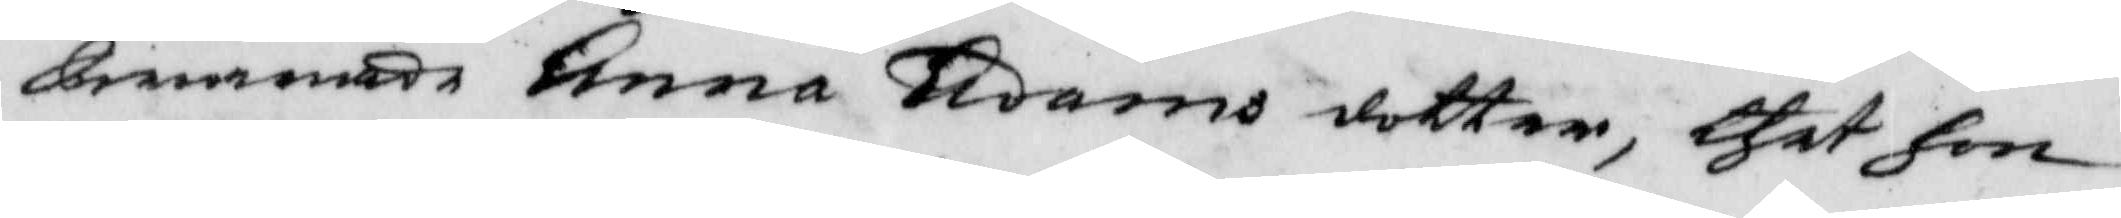Swarade Anna Adams dotter, thet hon
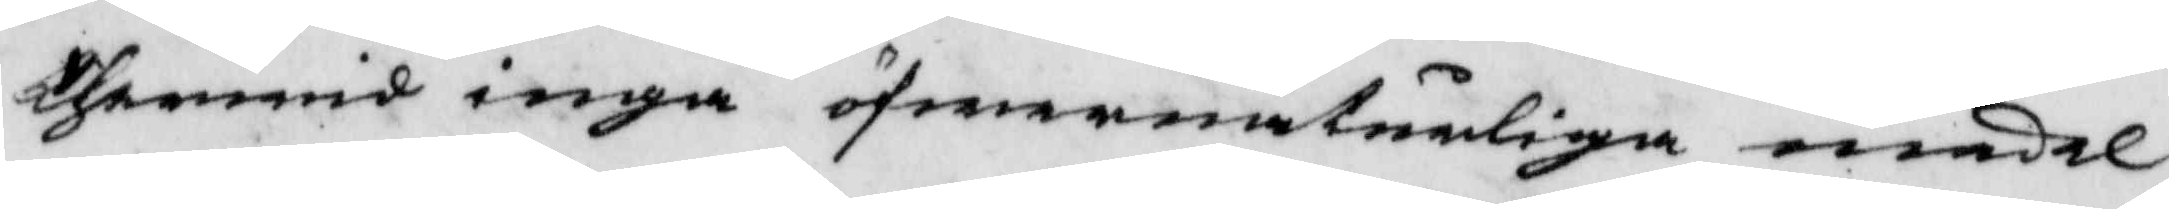therwid inga öfwernaturliga medel
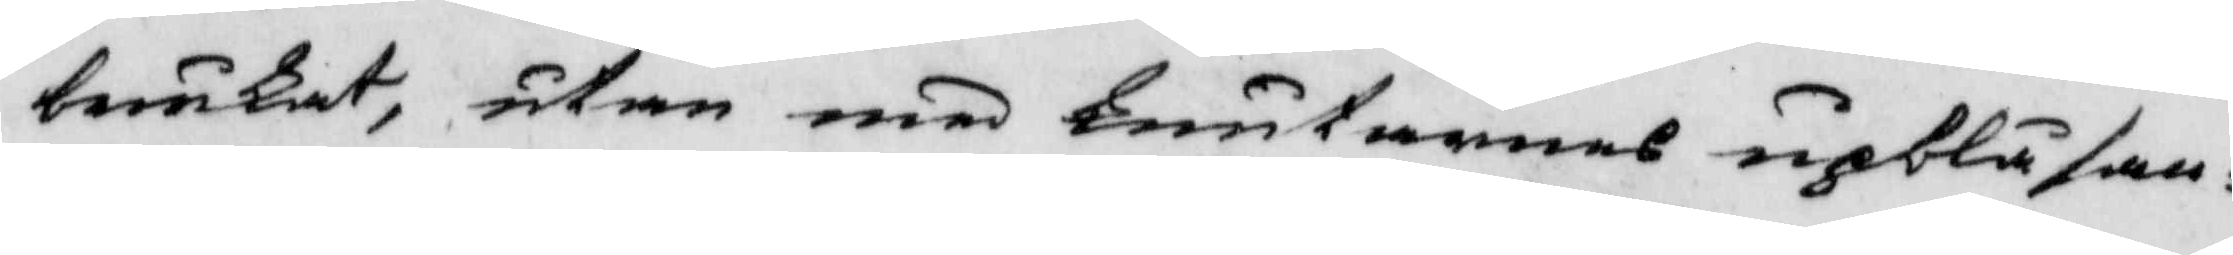brukat, utan med knutarnas upblåsan¬
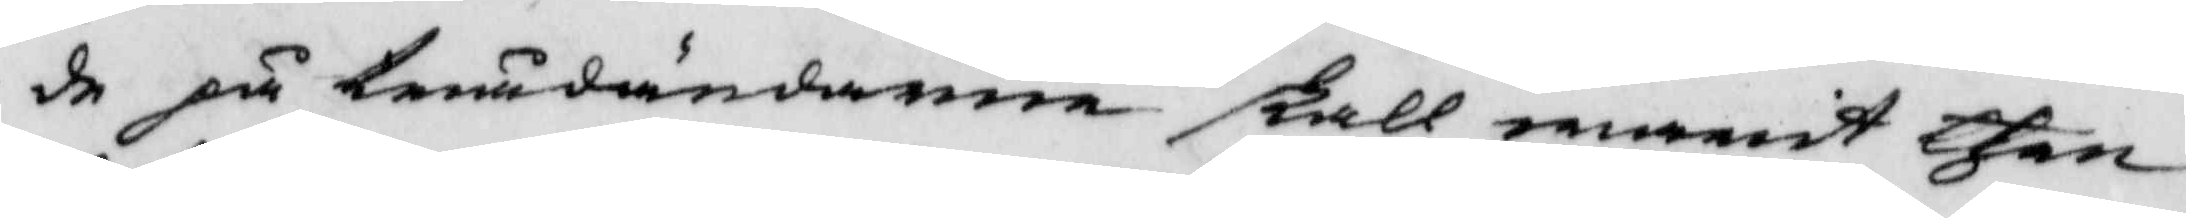de på trådändarna skall warit then
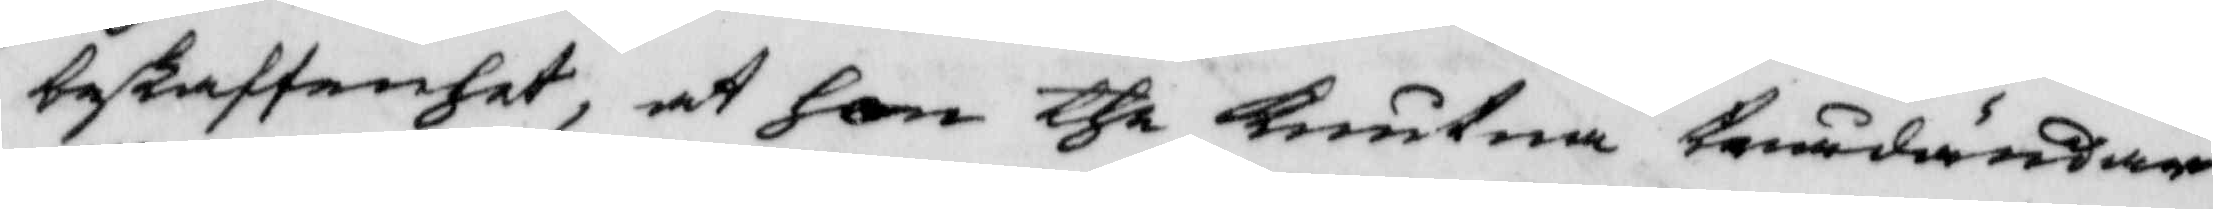beskaffenhet, at hon the knutna trådändar
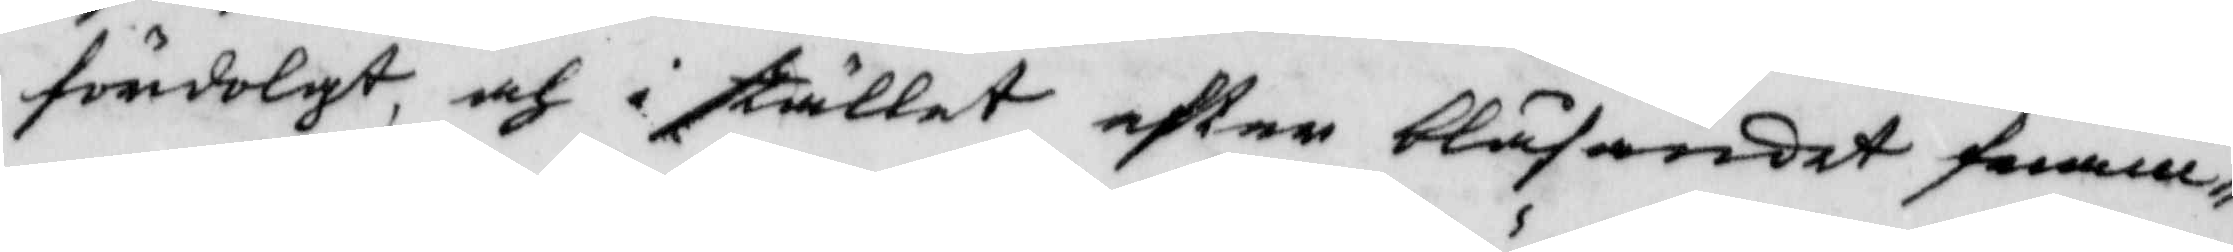fördolgt, och i stället efter blåsandet fram¬
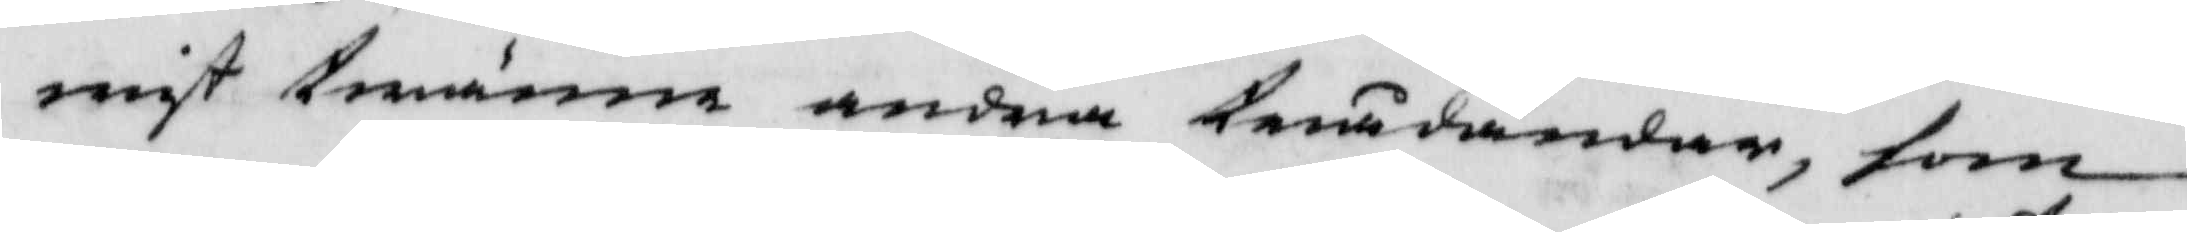wist twänne andra trådändar, som
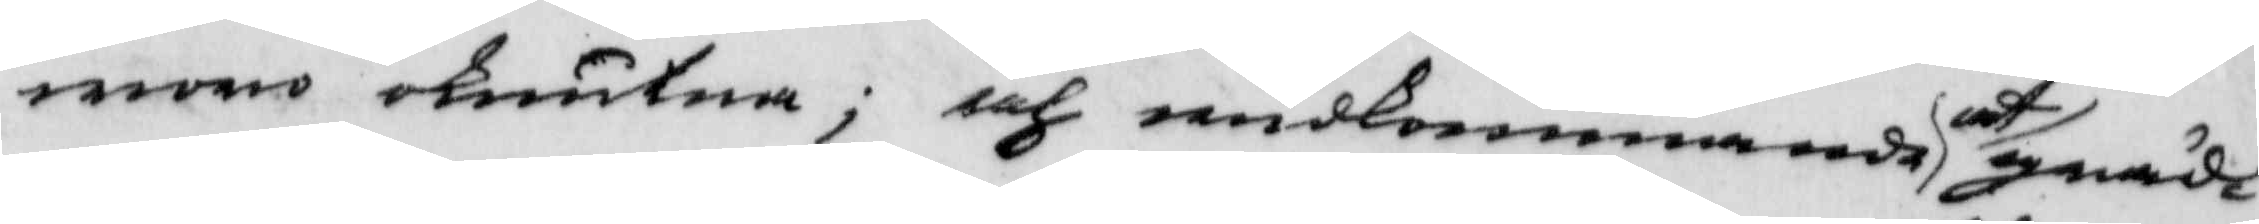woro oknutna; och widkommande at gräd¬
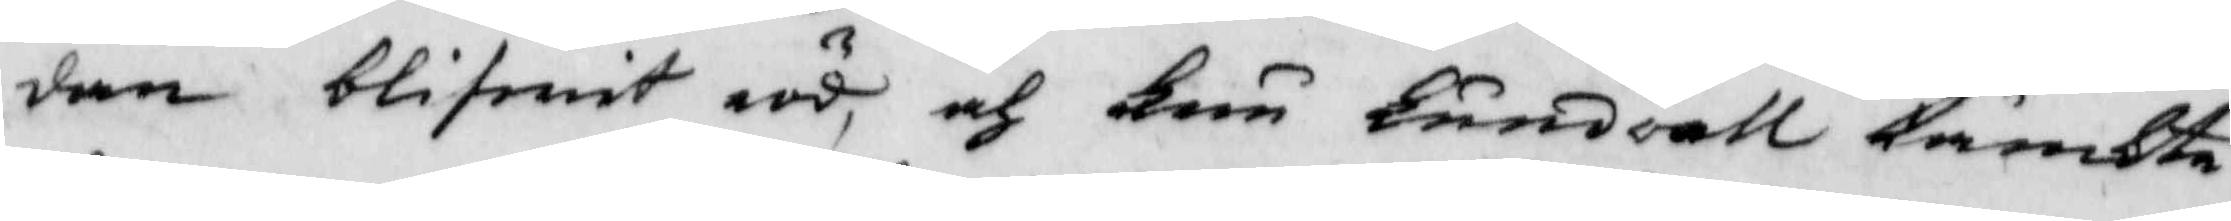dan blifwit röd, och Fru Lundvall tänkte
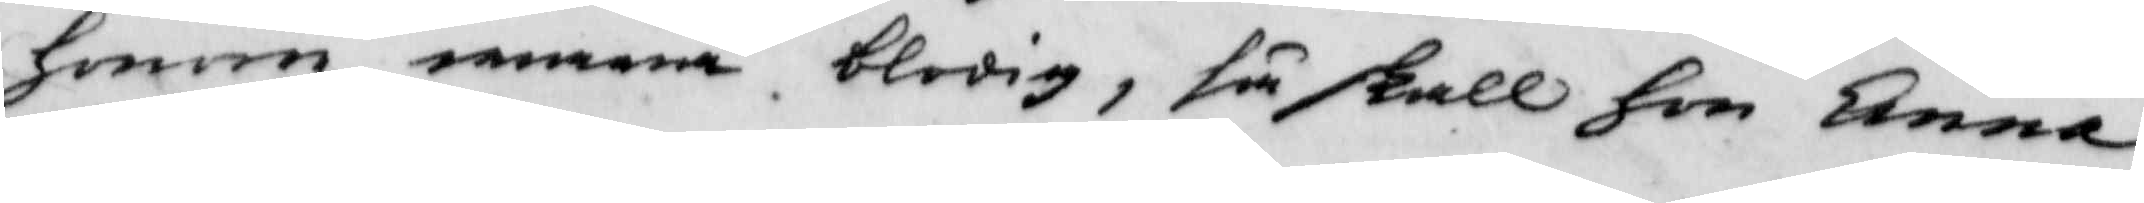honom wara blodig, så skall hon Anna
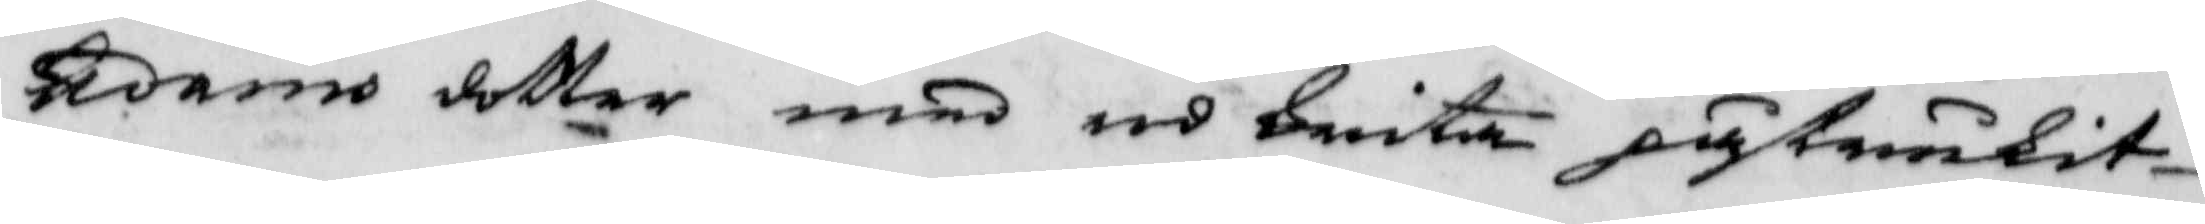Adams dotter med röd krita påstrukit
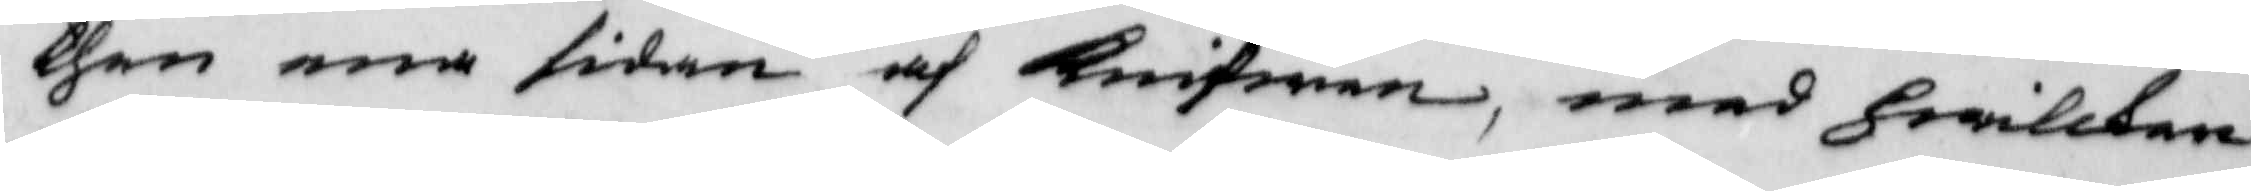then ena sidan af Knifwen, med hwilken
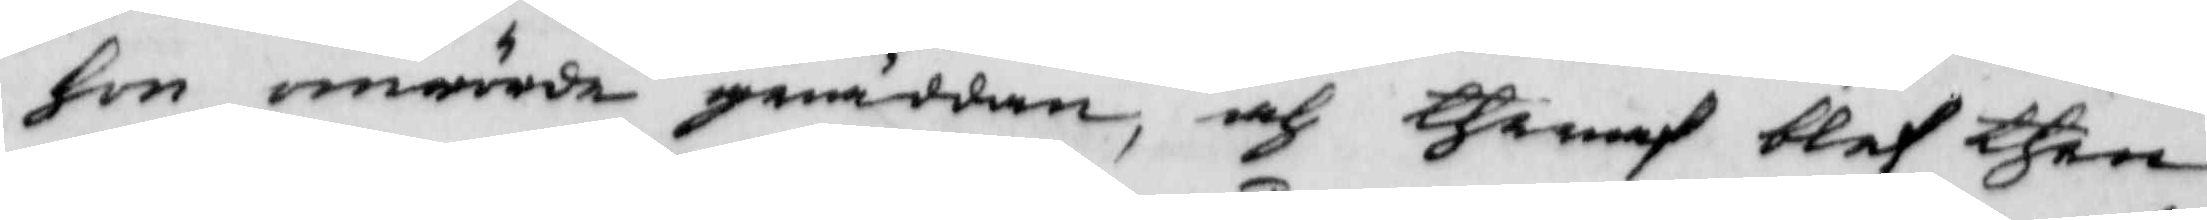hon omrörde grädden, och theraf blef then
